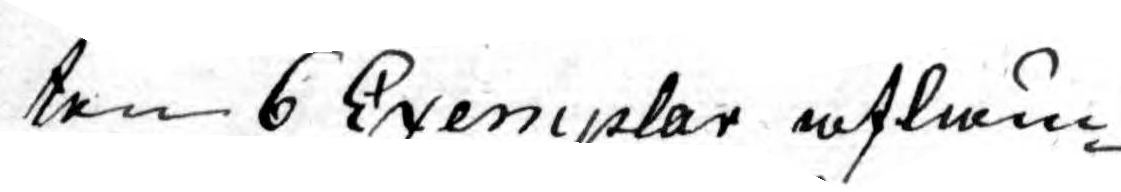ten 6 Exemplar afläm¬
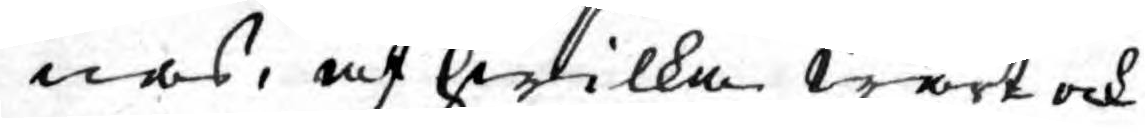nas, af hwilka wårt och
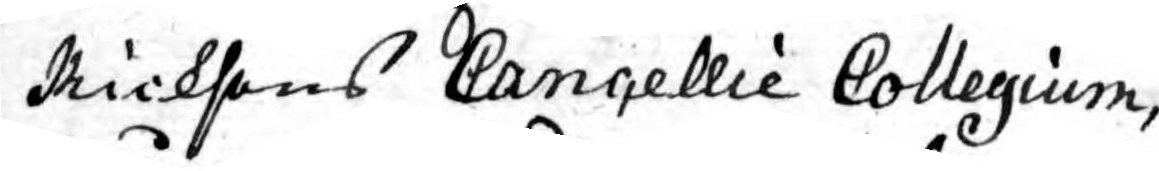Ricksens Cancellie Collegium,
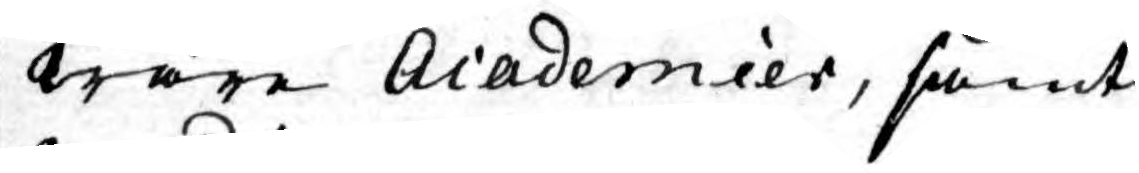wåre Academier, samt
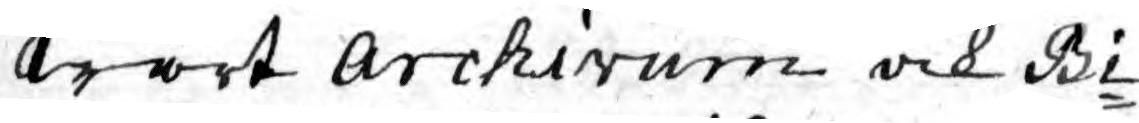wårt Archivum och Bi¬
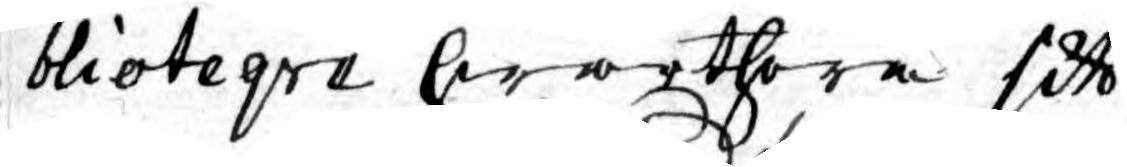blioteqve hwarthera sitt
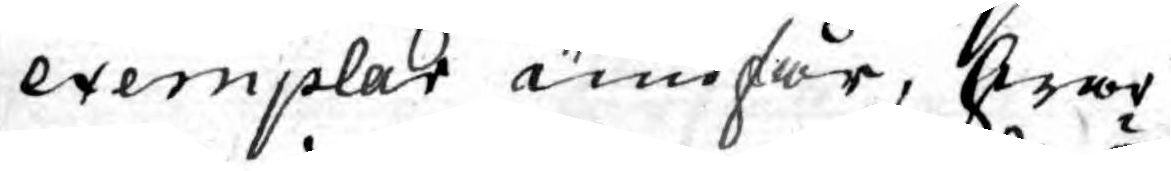exemplar undfår, hwar
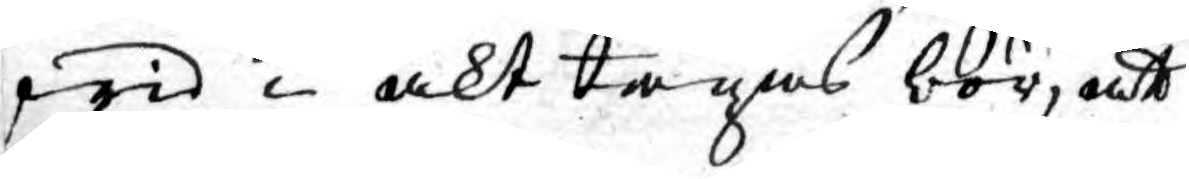wid i akt tagas bör, att
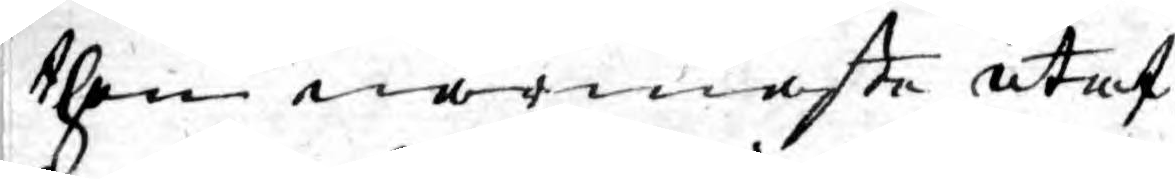then närmaste utaf
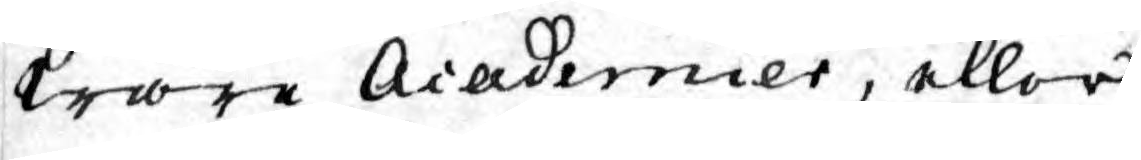wåre Academier, eller
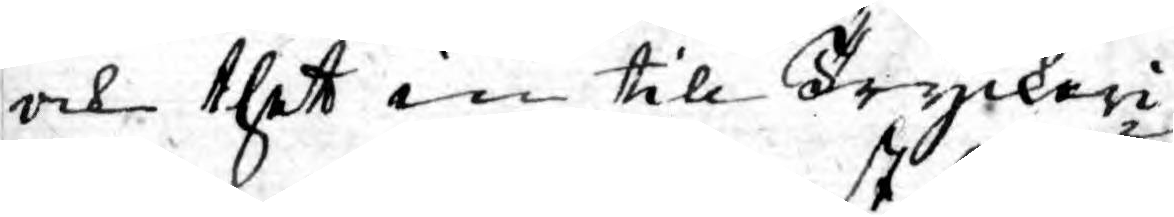och thet in till Tryckeri¬
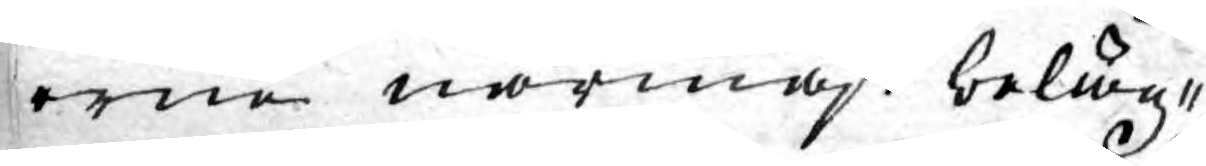erne närmast beläg¬
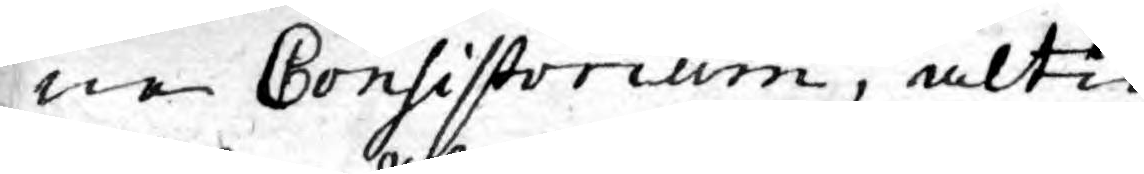ne Consistorium, altid
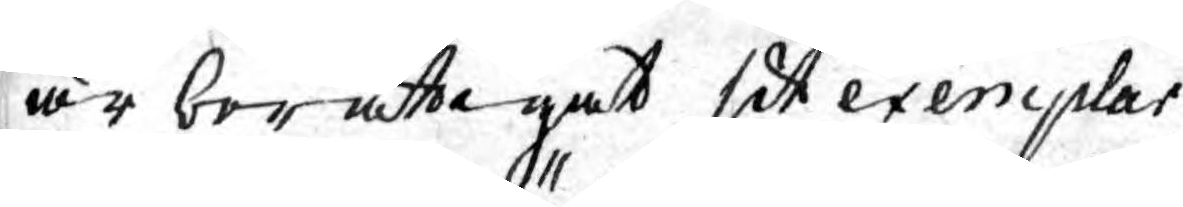är berättigat sitt exemplar
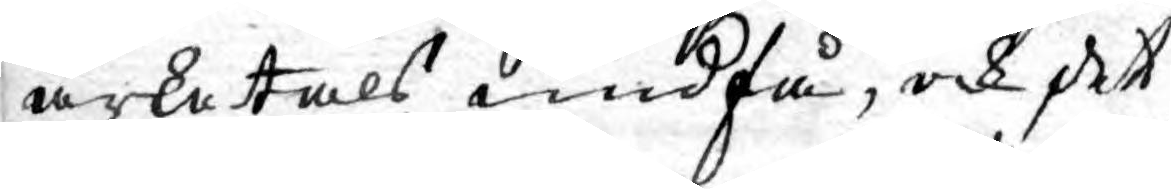arketals undfå, och det
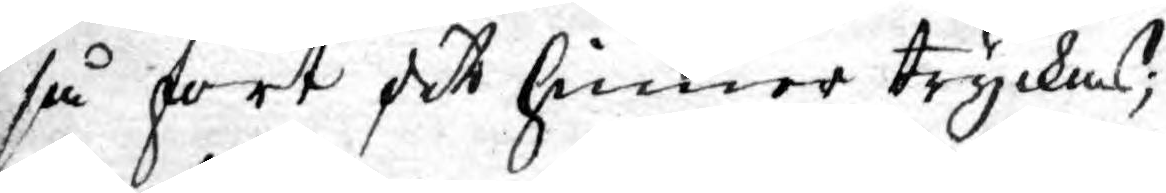så fort det hinner tryckas;
